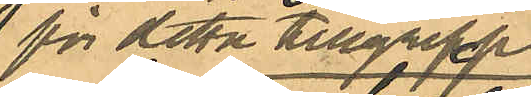för detta tillgrepp
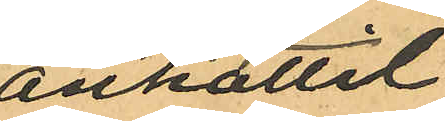anhållit
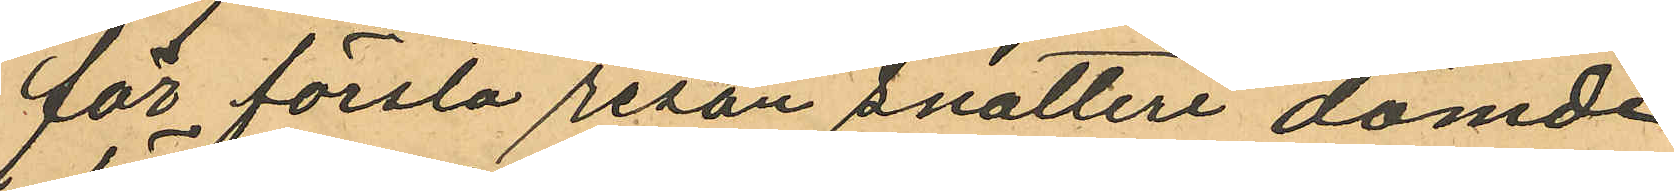för första resan snatteri dömde
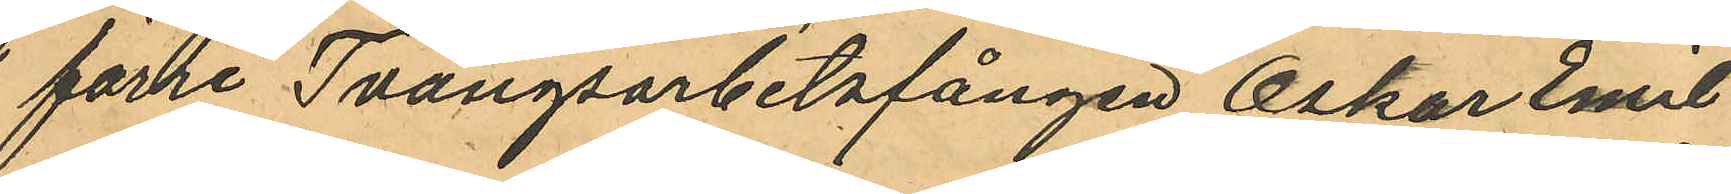förre Tvångsarbetsfången Oskar Emil
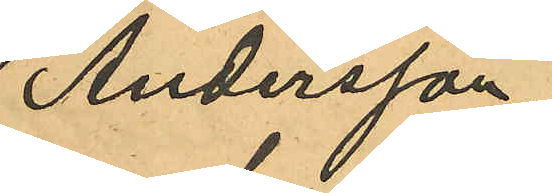Andersson
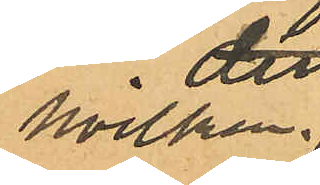hvilken
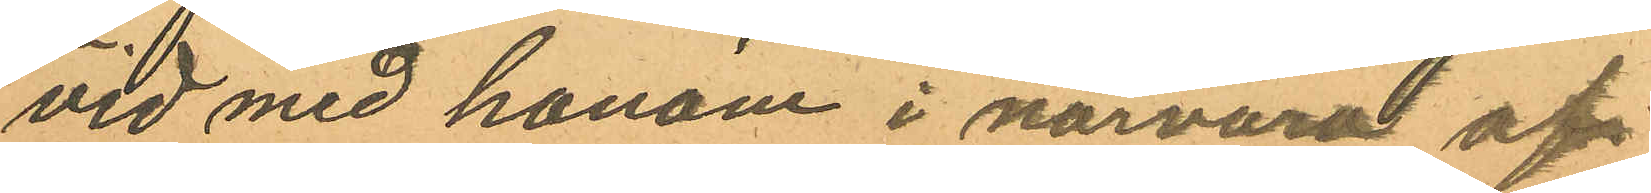vid med honom i narvaro af
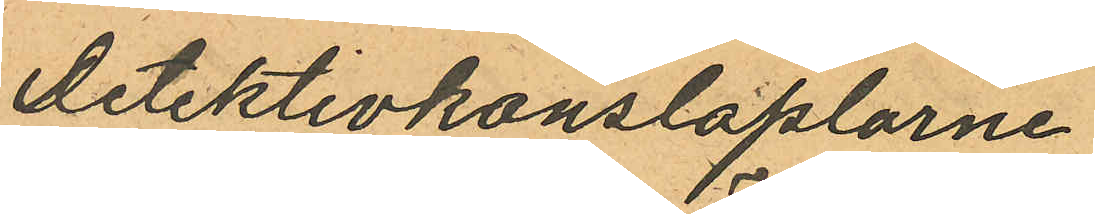detektivkonstaplarne
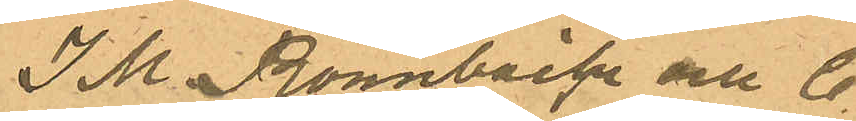J M. Rönnbäck och C
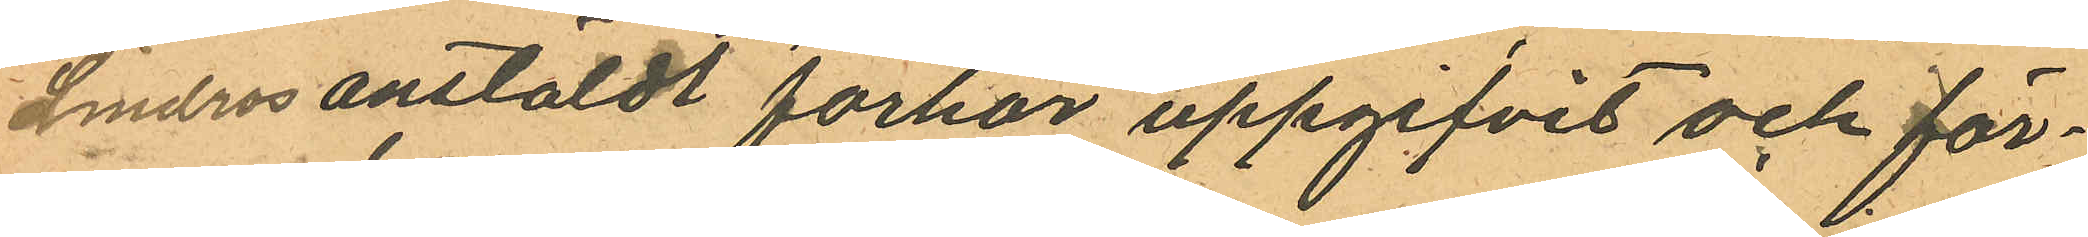Lindros anstäldt förhör uppgifvit och för¬
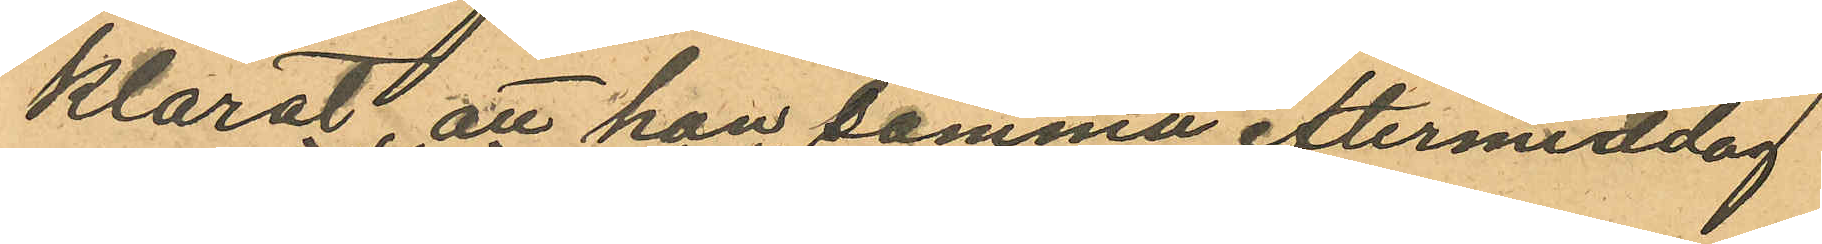klarat, att han samma eftermiddag
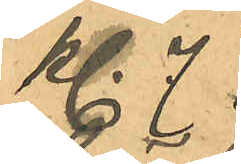kl. 7
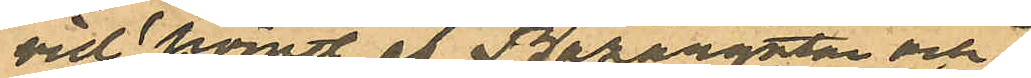vid hörnet af Bazargatan och
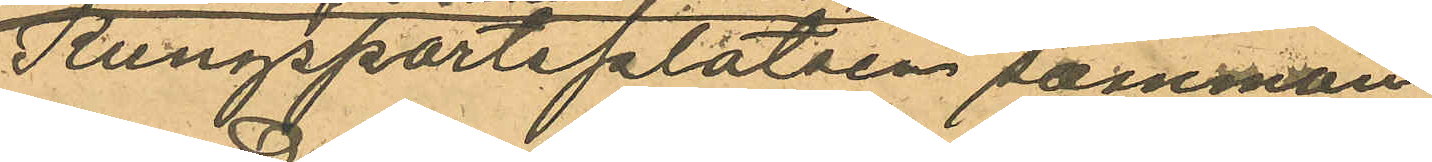Kungsportsplatsen samman
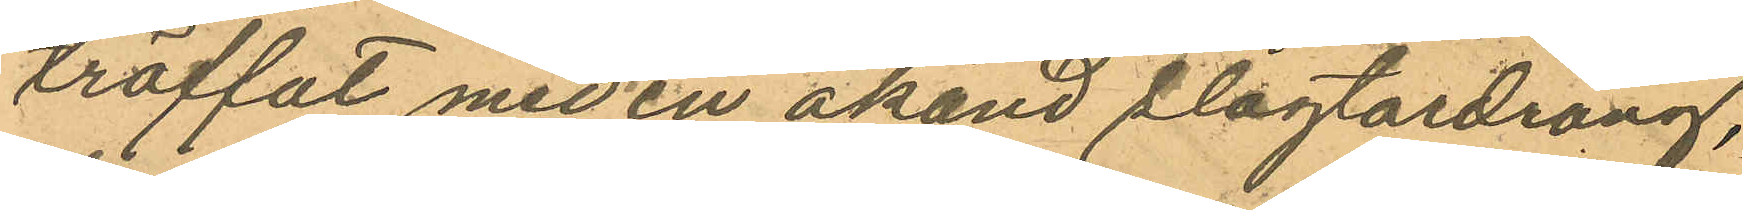träffat med en okänd slagtardräng,
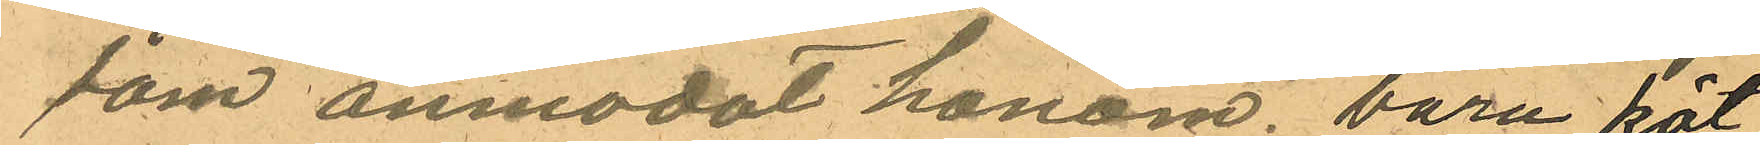som anmodat honom. bära köt¬
